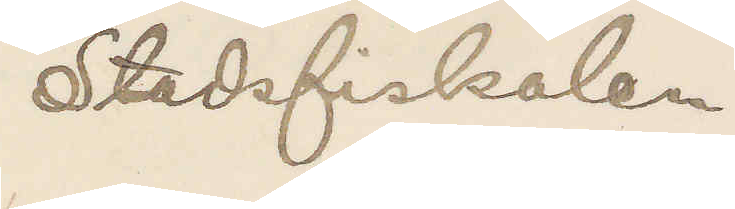Stadsfiskalen
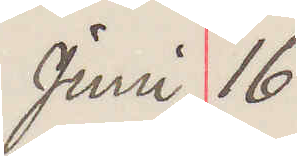Juni 16
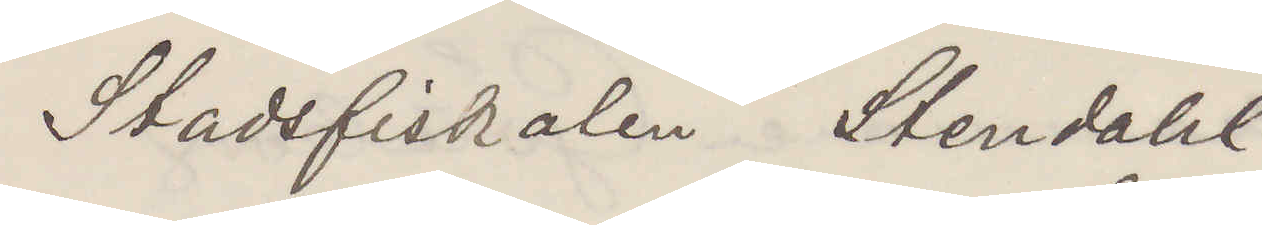Stadsfiskalen Stendahl
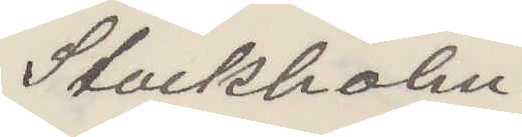Stockholm.
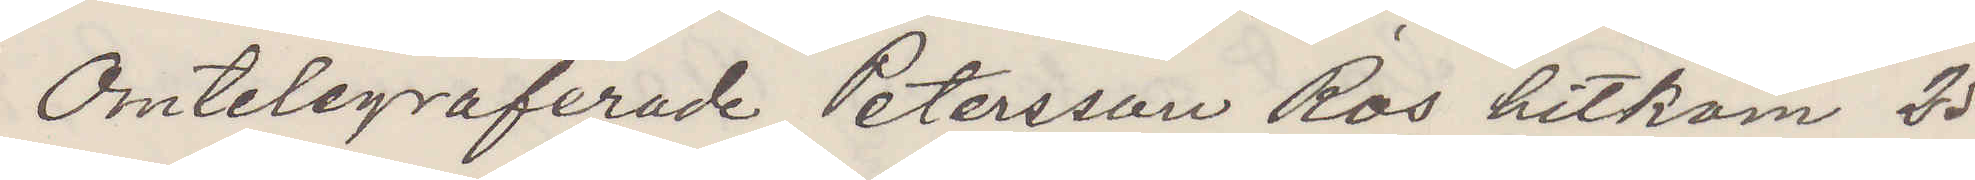Omtelegraferade Petersson Ros hitkom 25
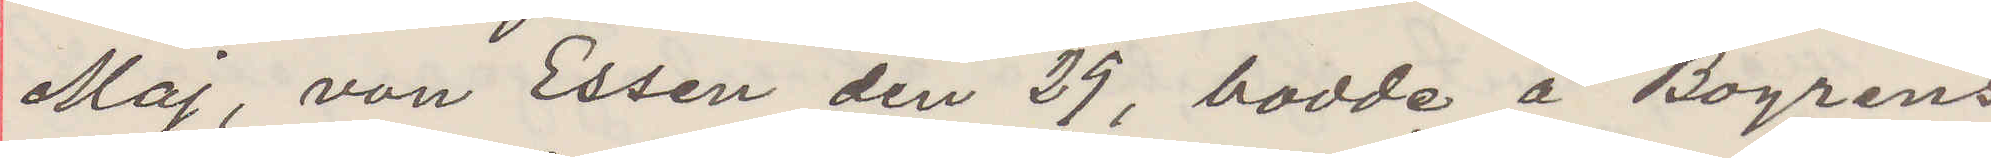Maj, von Essen den 29, bodde å Bogrens
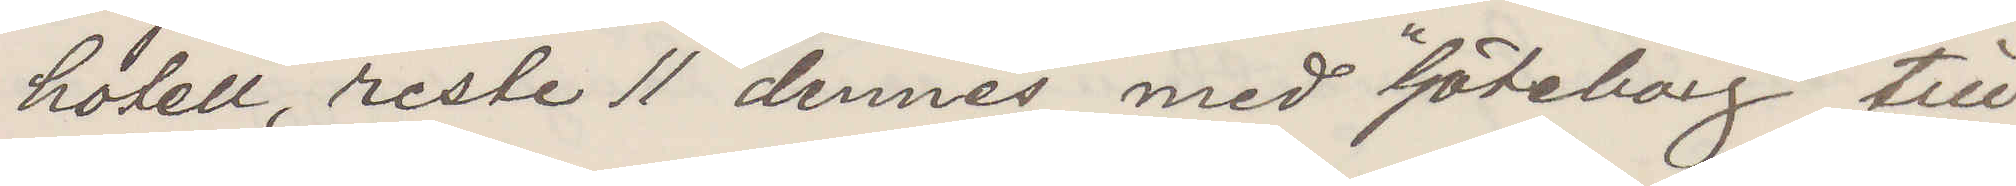hotell, reste 11 dennes med "Göteborg" till
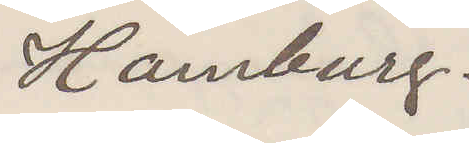Hamburg.
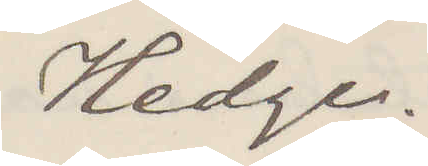Hedge.
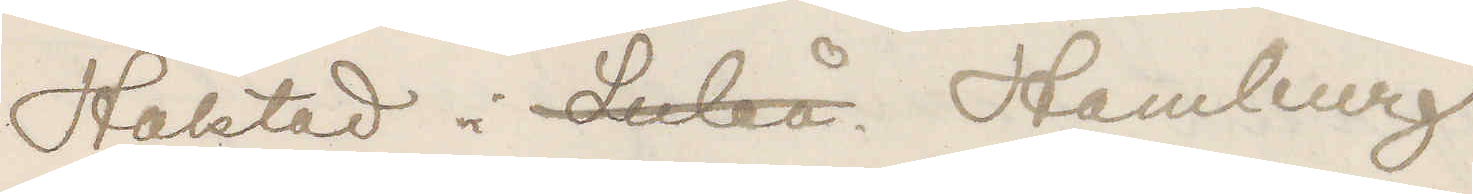Häktad i Luleå Hamburg
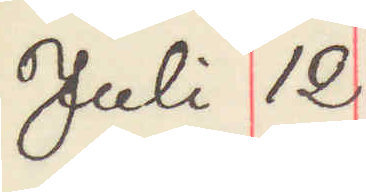Juli 12
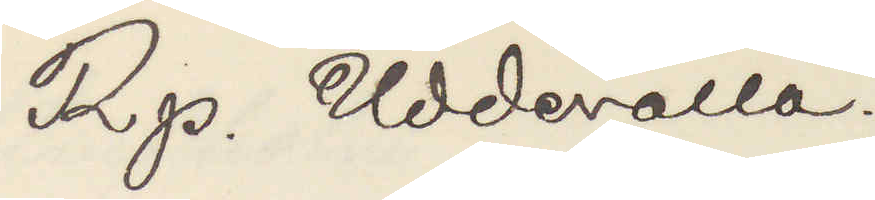Rp. Uddevalla.
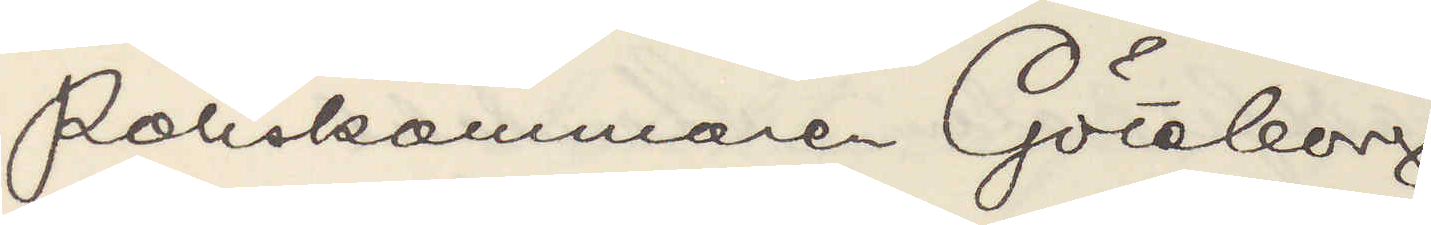Poliskammaren Göteborg
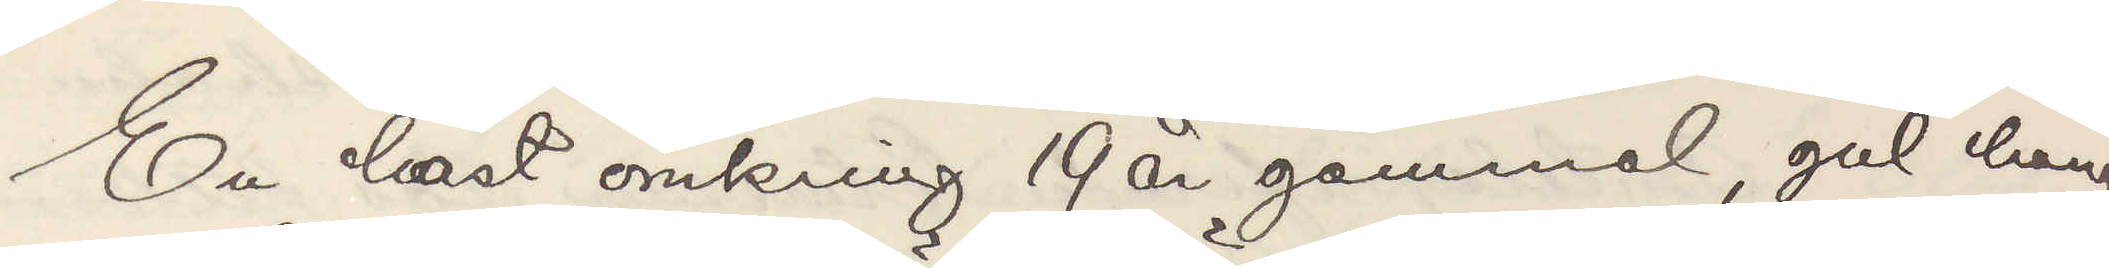En häst omkring 19 år gammal, gul häng¬
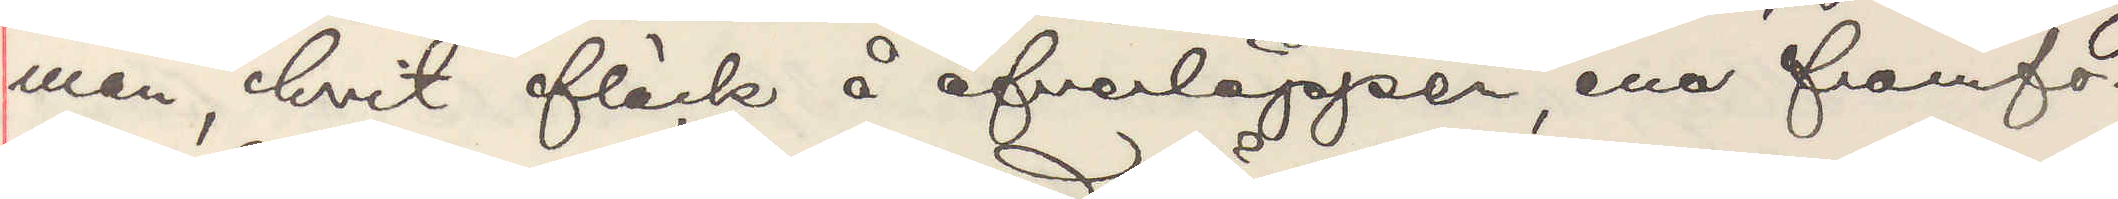man, hvit fläck å öfverläppen, ena framfo¬
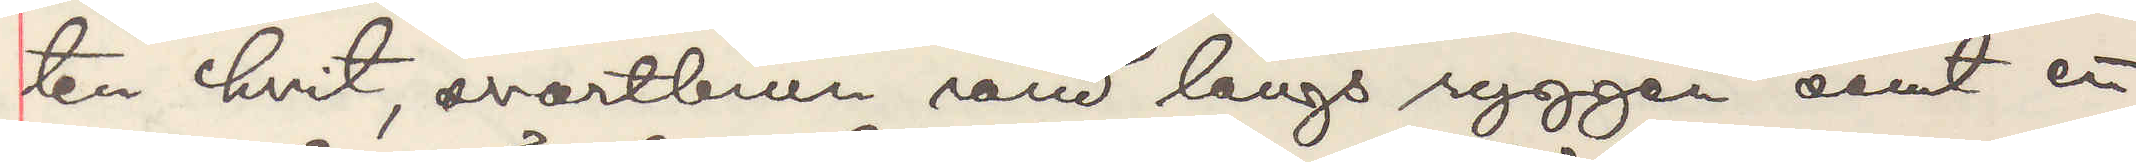ten hvit, svartbrun rand längs ryggen samt ett
